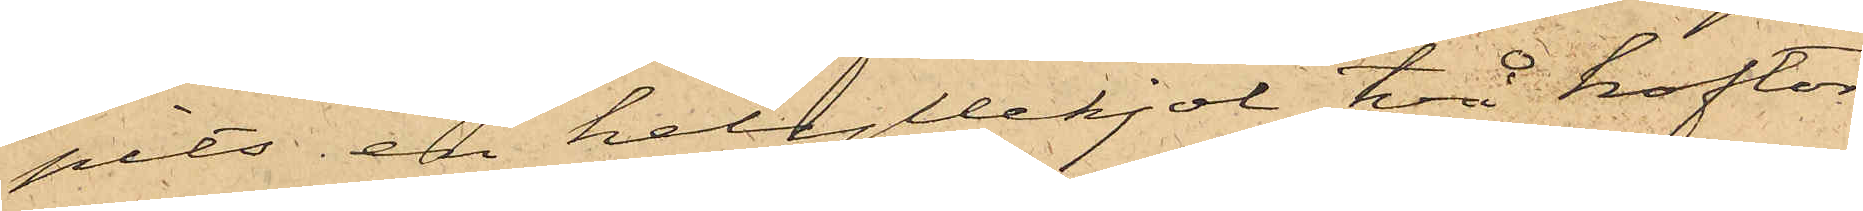pits en helyllekjol, två koftor,
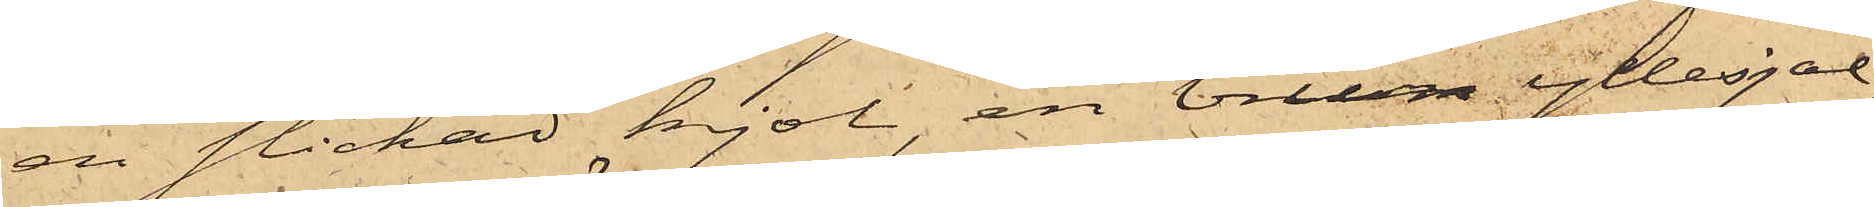en stickad kjol, en brun yllesjal,
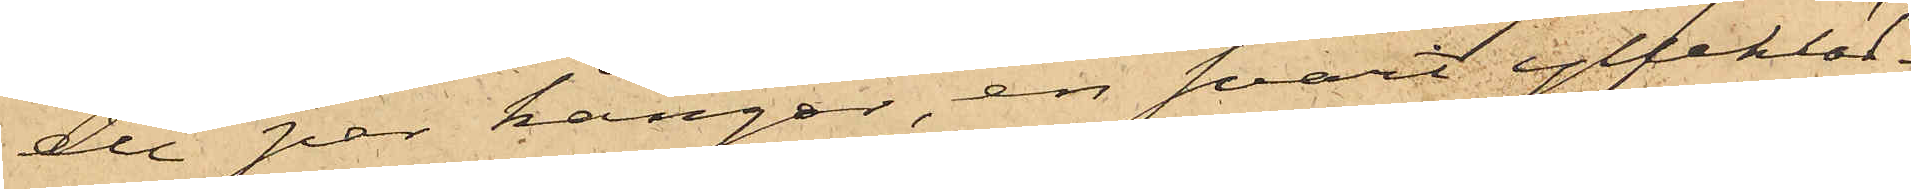det par kängor, en svart yllekläd¬
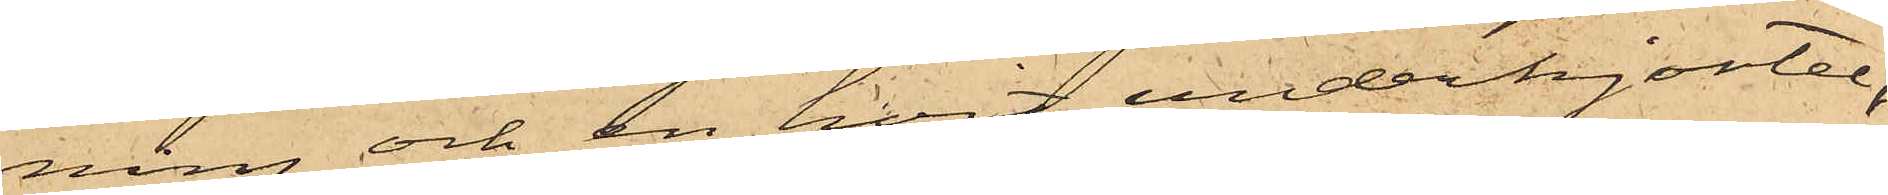ning och en hvit underkjortel,
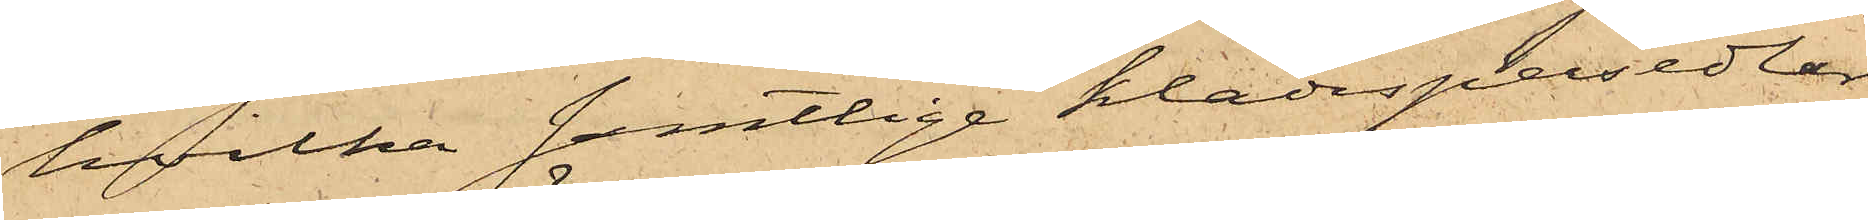hvilka samtlige klädespersedlar
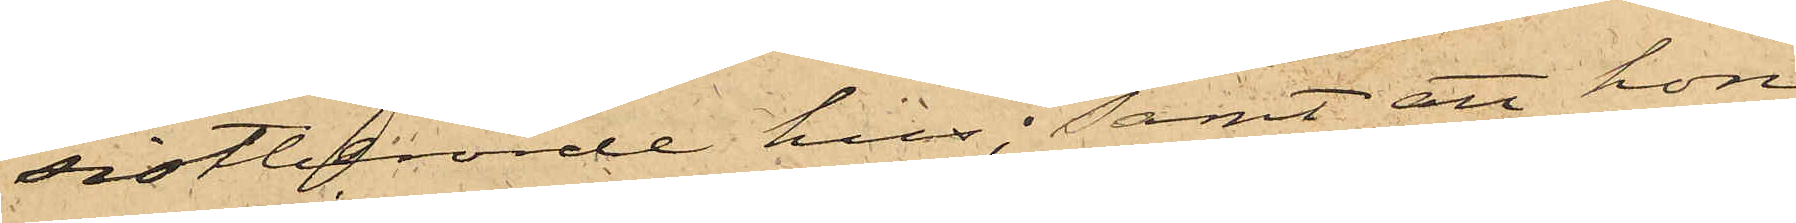sistberörde hus; samt att hon
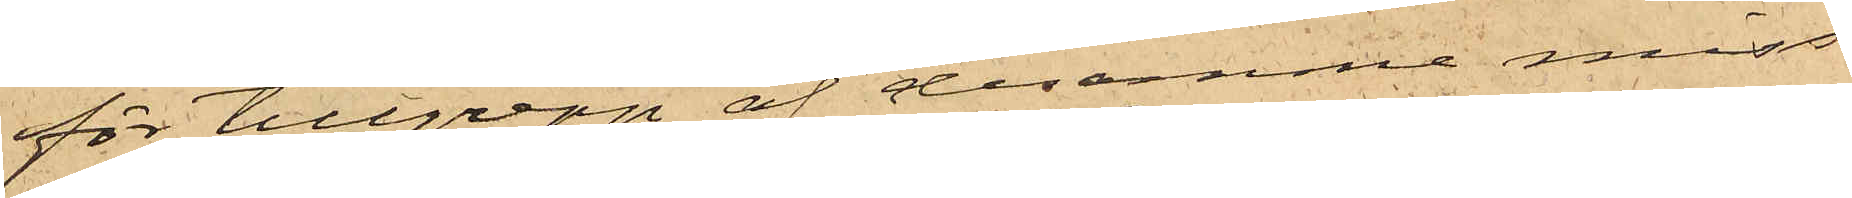för tillgrepp af desamma miss¬
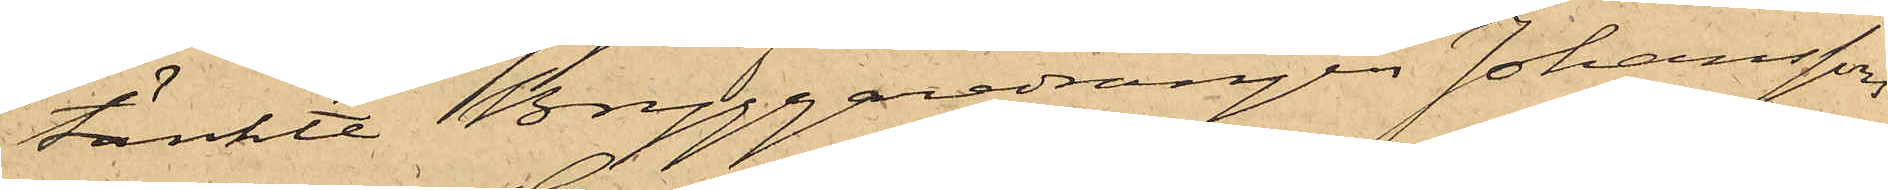tänkte Bryggaredrängen Johanssons
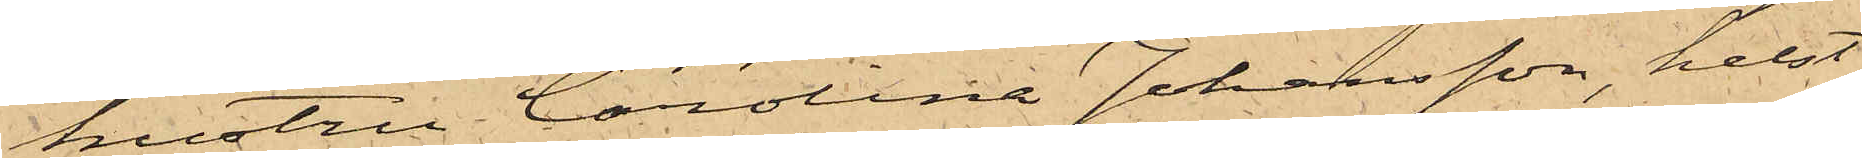hustru Carolina Johansson, helst
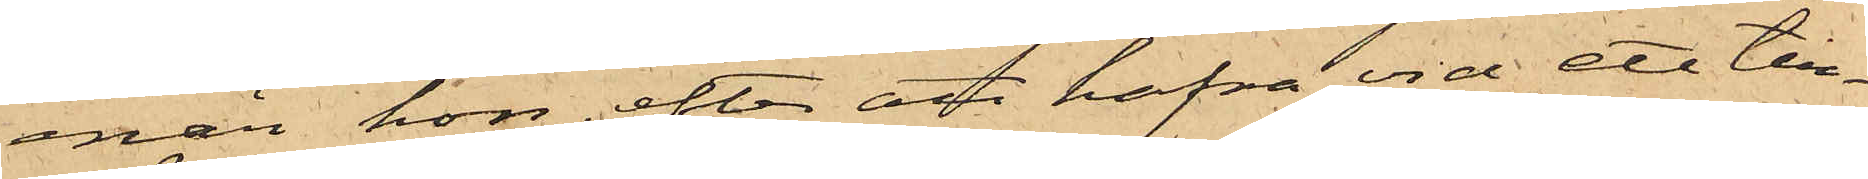enär hon, efter att hafva vid ett till¬
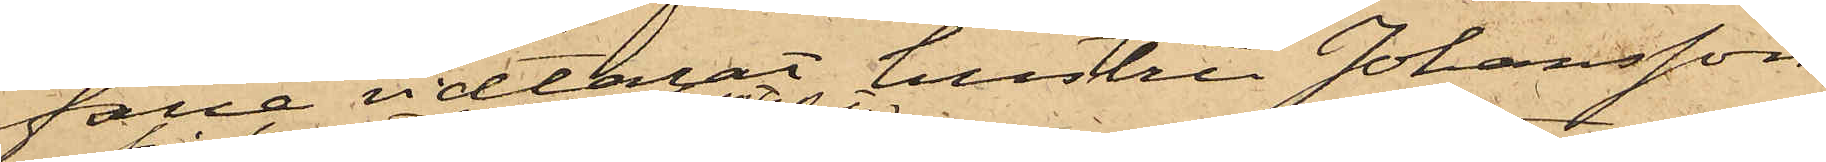fälle vidtalat hustru Johansson
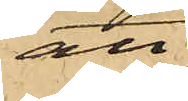att
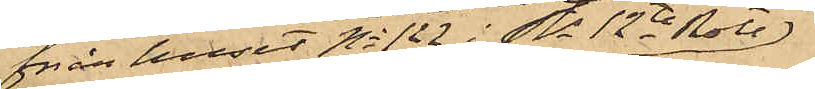från huset No 122 i Sts 12te Rote
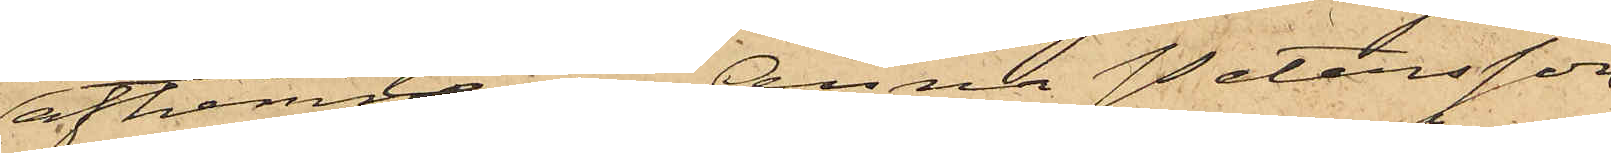afhemta en Anna Petersson
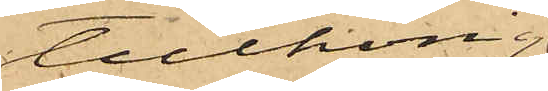tillhörig
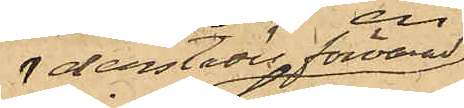derstädes förvarad
